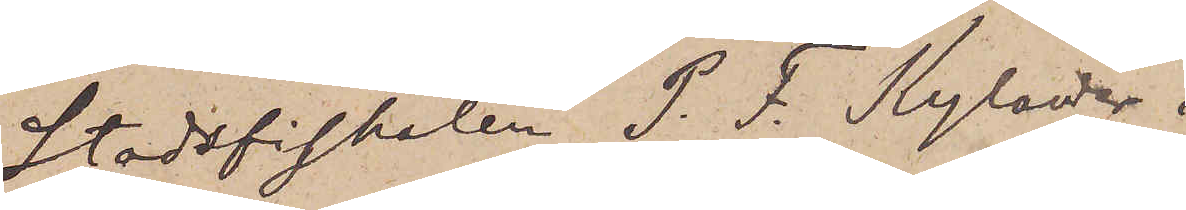Stadsfiskalen P. F. Kylander i
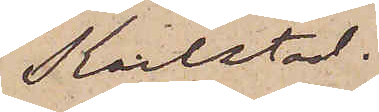Karlstad.
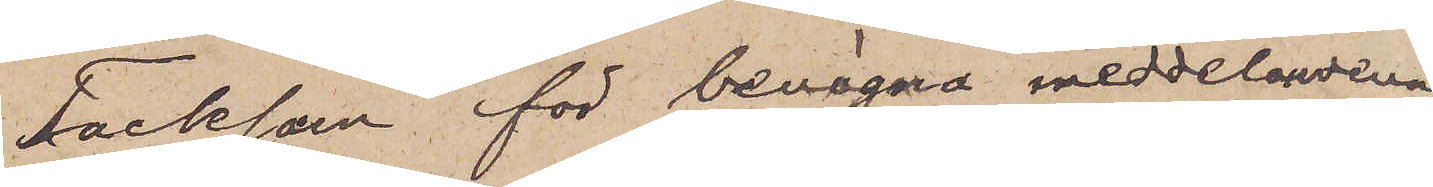Tacksam för benägna meddelandena
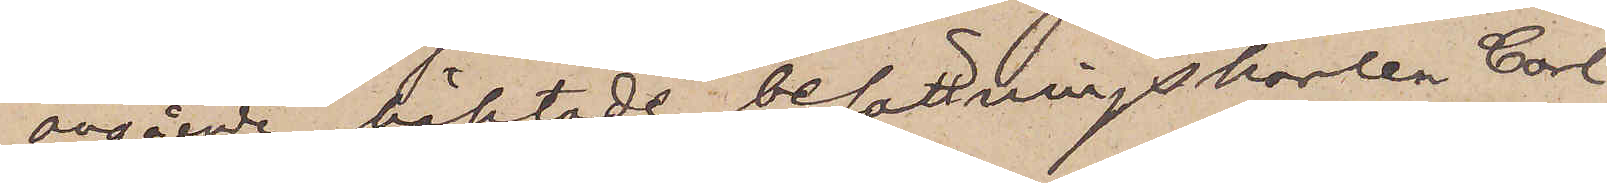angående häktade besättningskarlen Carl
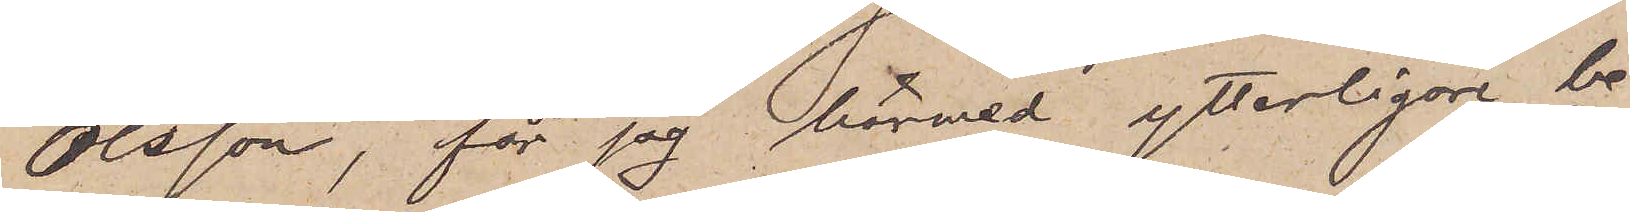Olsson, får jag härmed ytterligare be¬
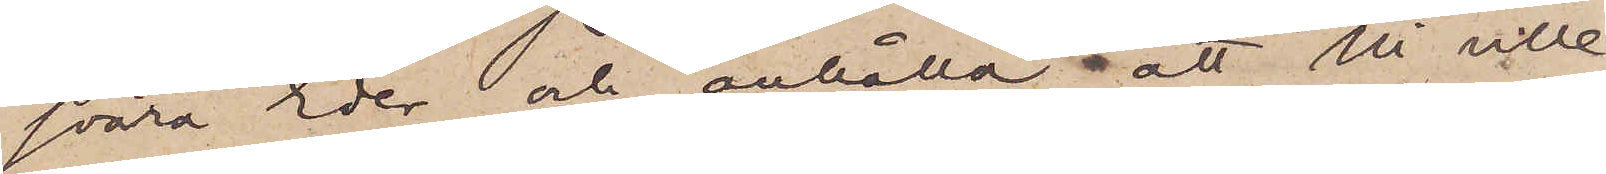svära Eder och anhålla, att Ni ville
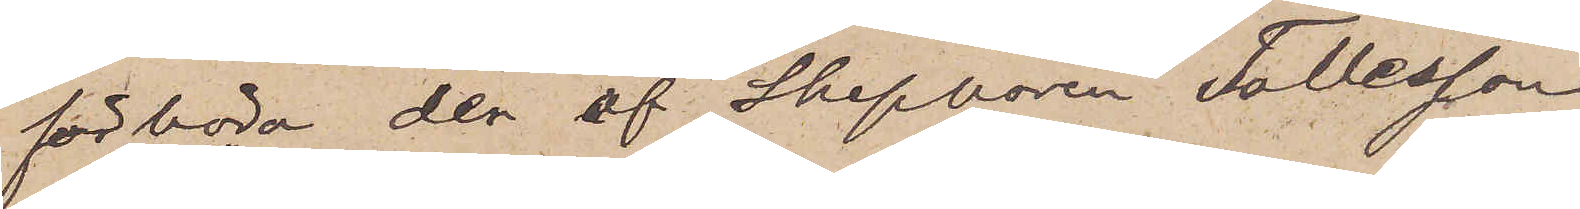förhöra den af Skepparen Tollesson
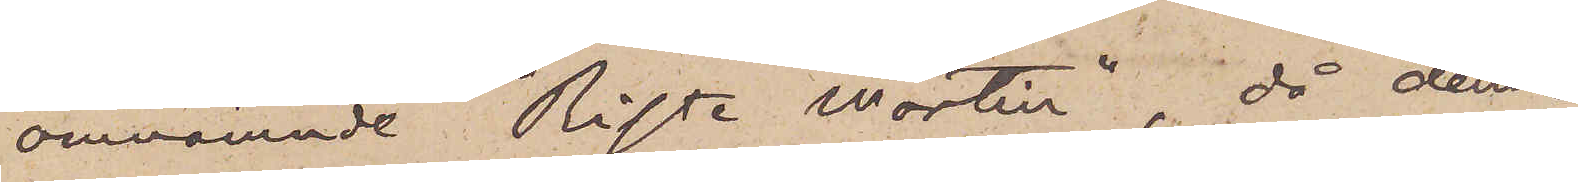omnämnde "Riste Martin", då denne
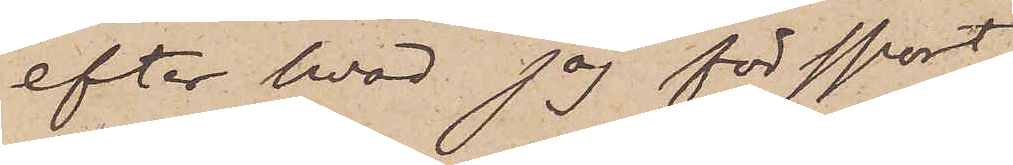efter hvad jag försport
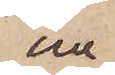nu
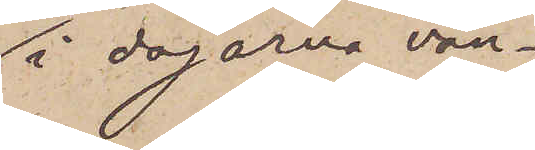i dagarna vän¬
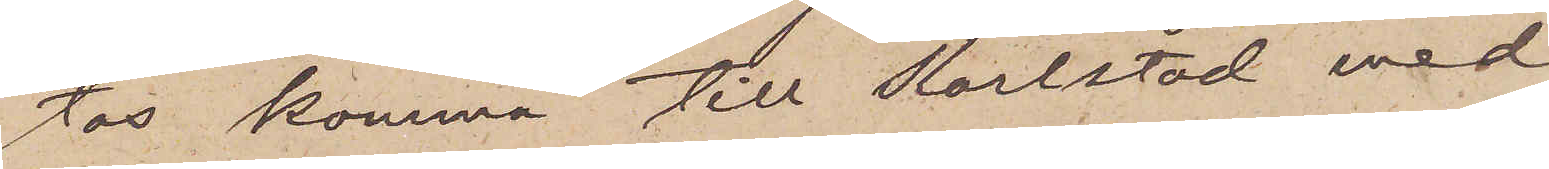tas komma till Karlstad med
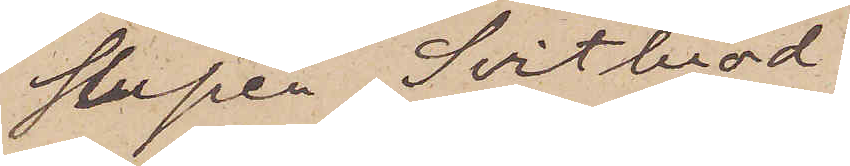slupen Svithiord
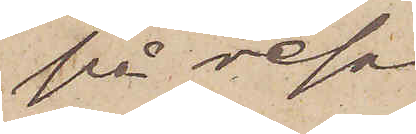på resa
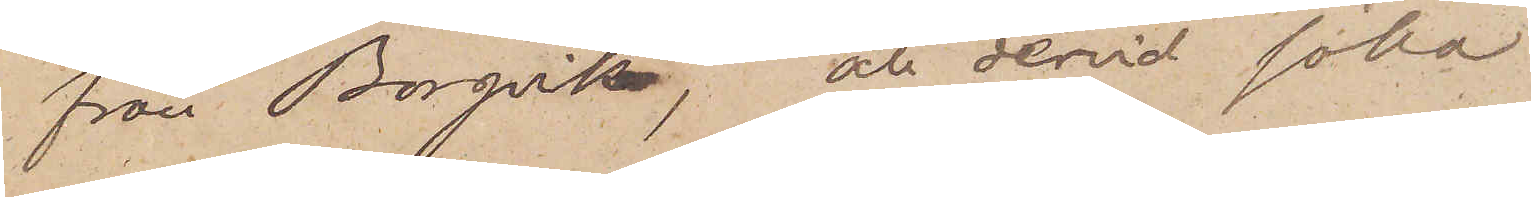från Borgvik, att dervid söka
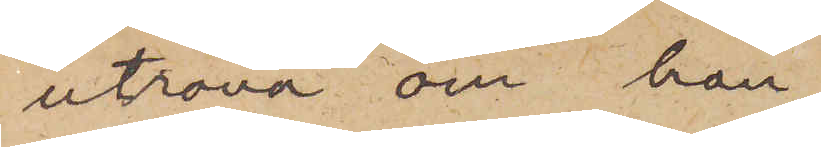utröna om han
